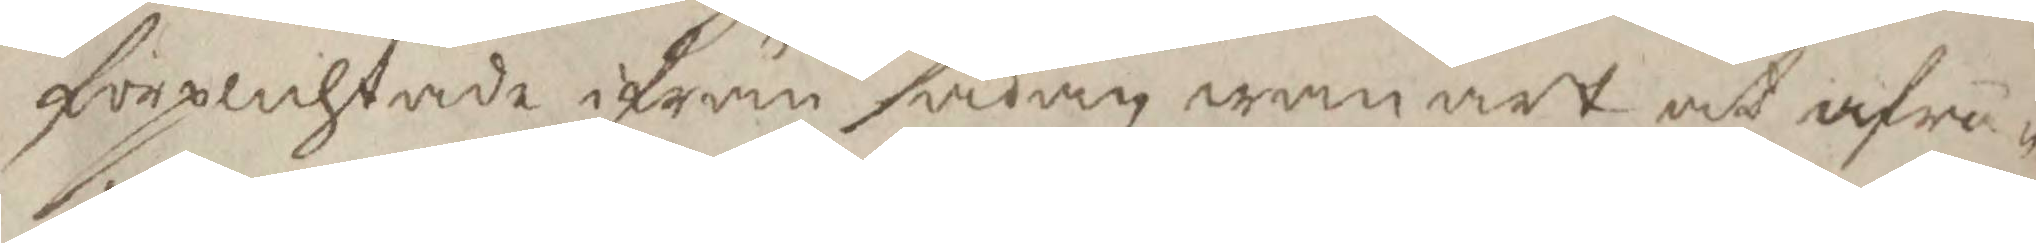förplichtade ifrån sådan wanart at afrå¬
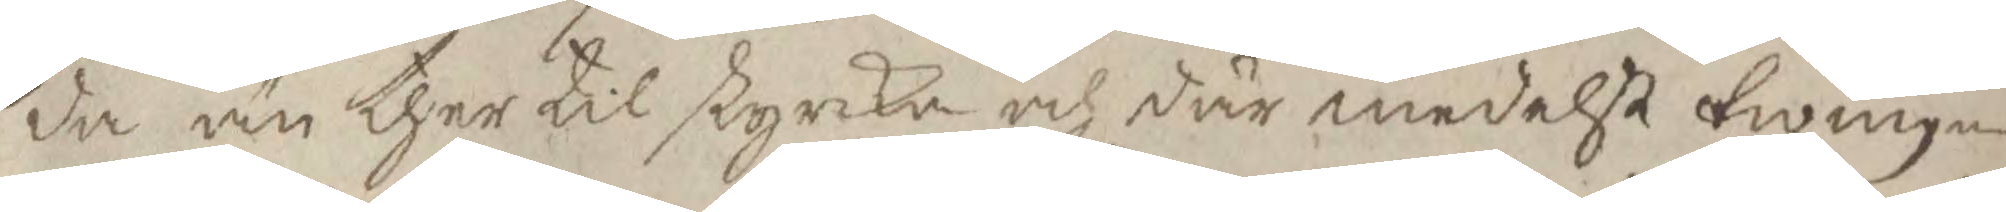da än ther til styrka och där medelst twinga
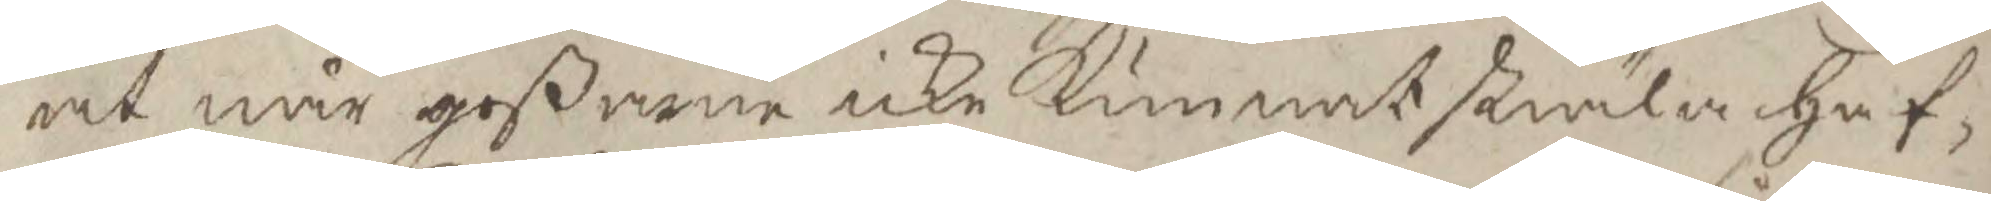at när goßarne icke kunnat stiäla haf¬
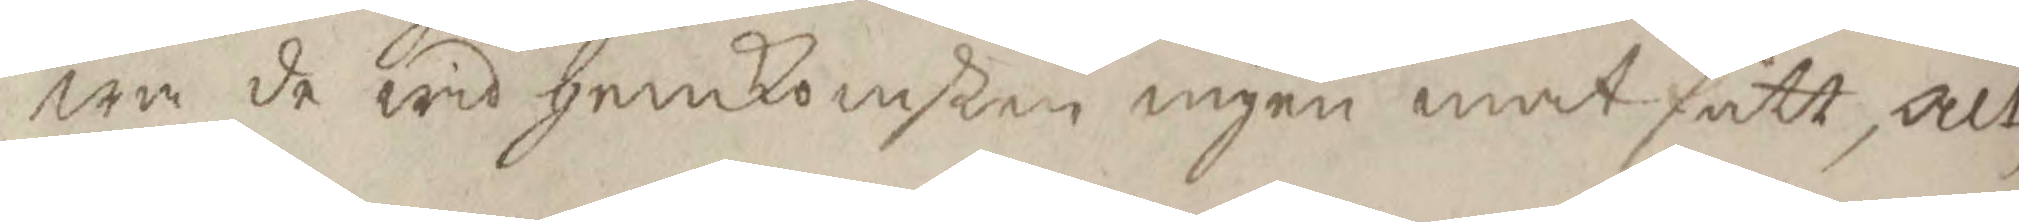wa de wid hemkomsten ingen mat fått, alt¬
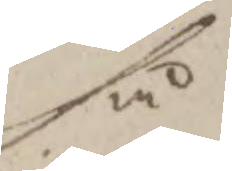så
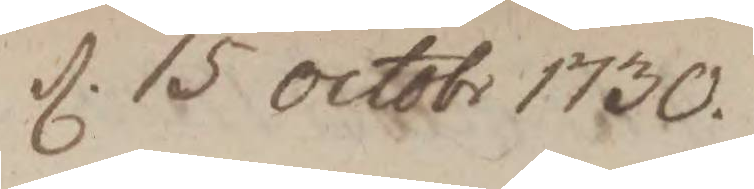d. 15 octobr 1730
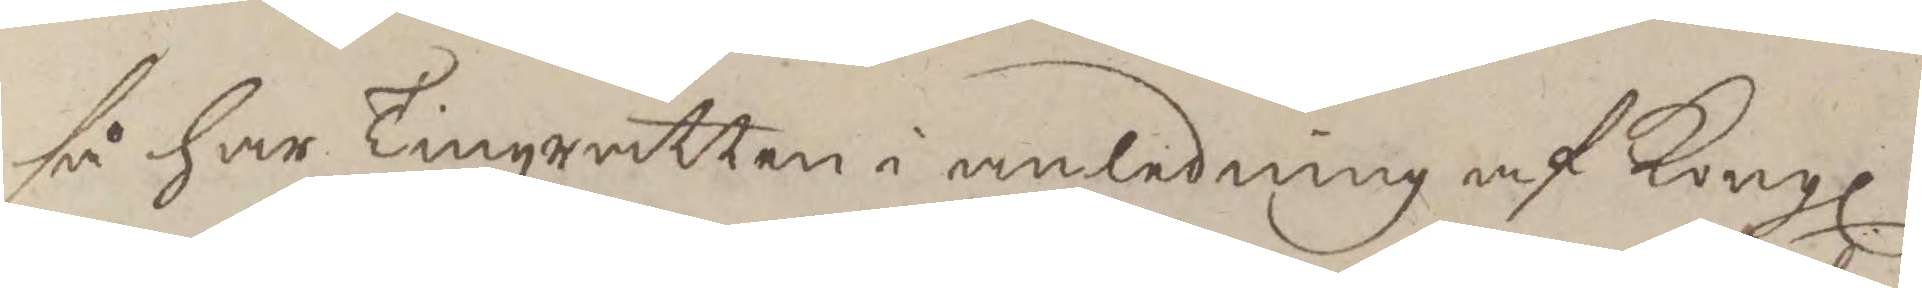så har Tingzrätten i anledning af Kongl
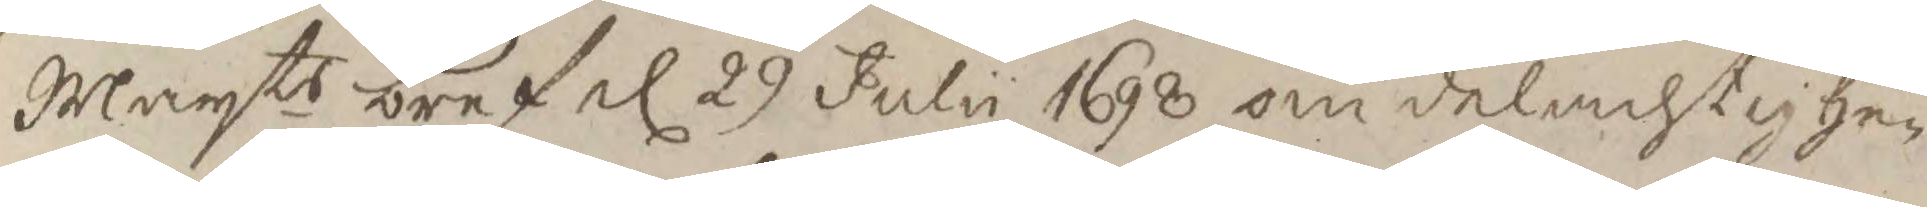Mayts bref d 29 Julii 1698 om delachtighe¬
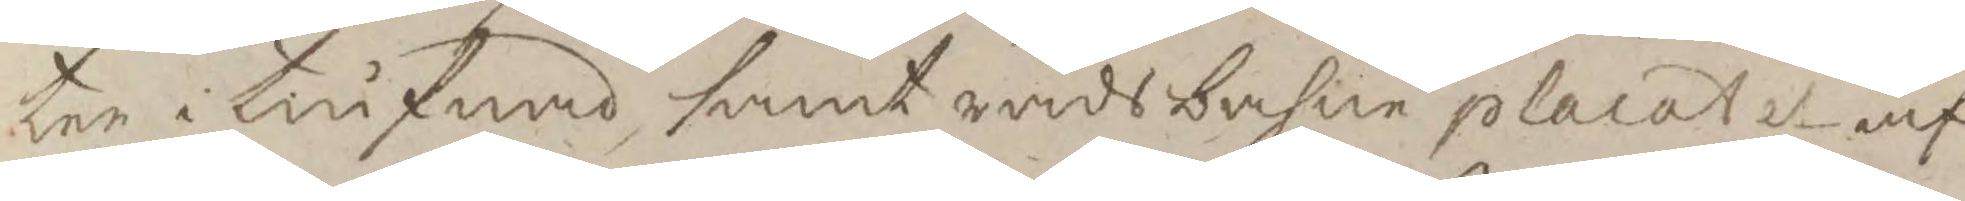ten i tiufnad samt rådsbahne placatet af
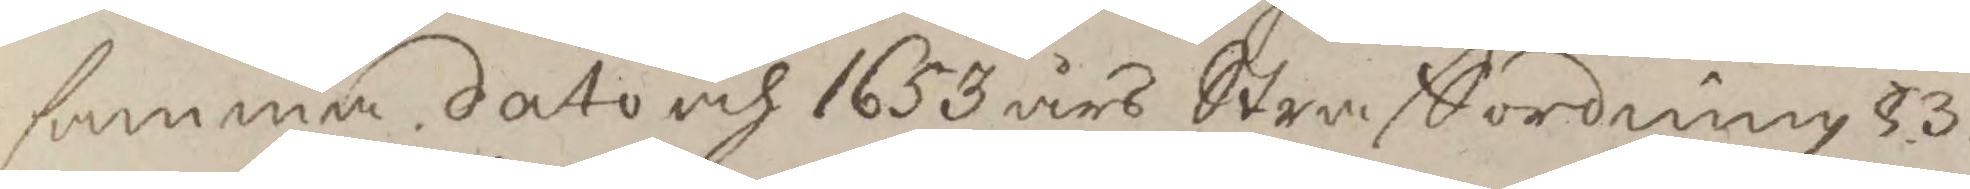samma dato och 1653 års Straffordning §3
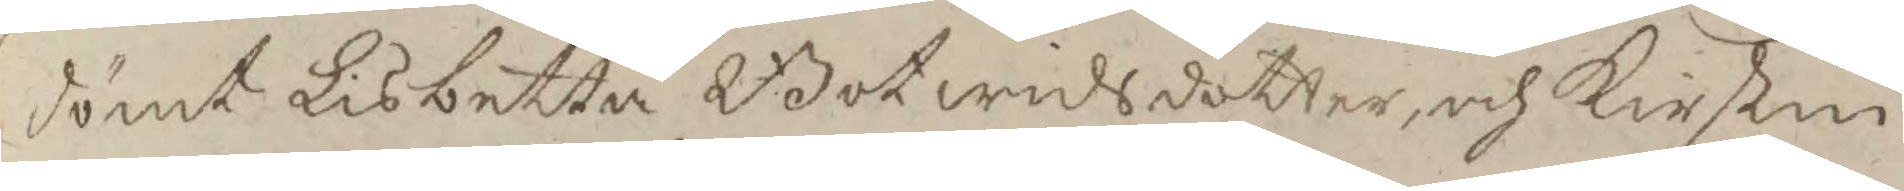dömt Lisbetta Botwidsdotter och Kirstin
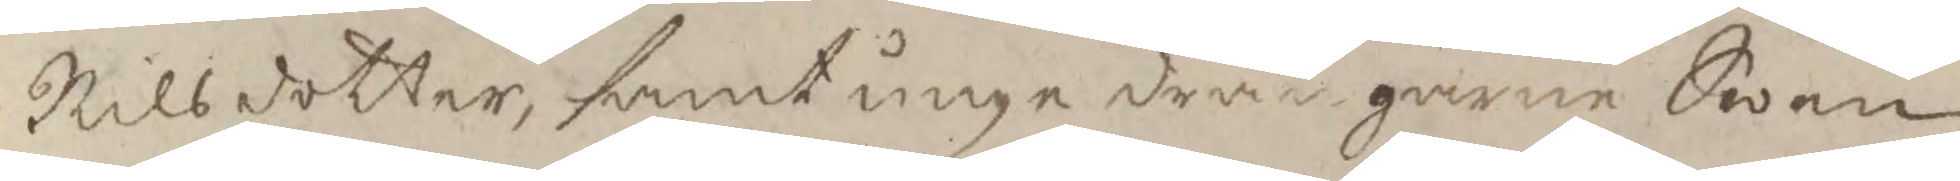Nilsdotter, samt unge drängarne Swen
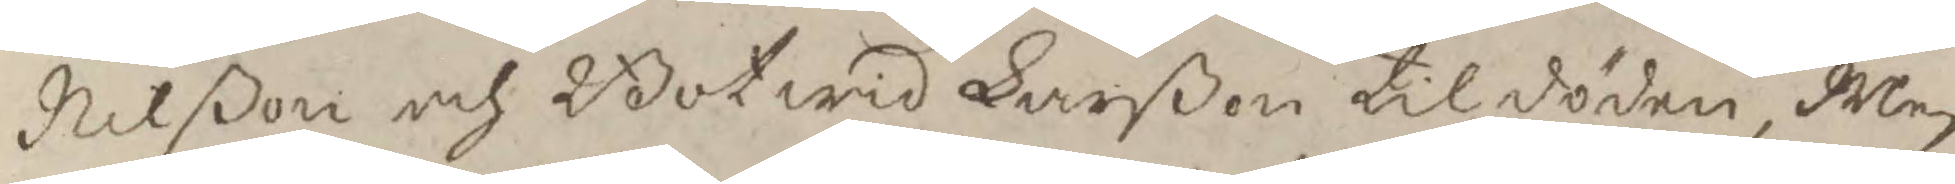Nilßon och Botwid Larßon til döden, Men
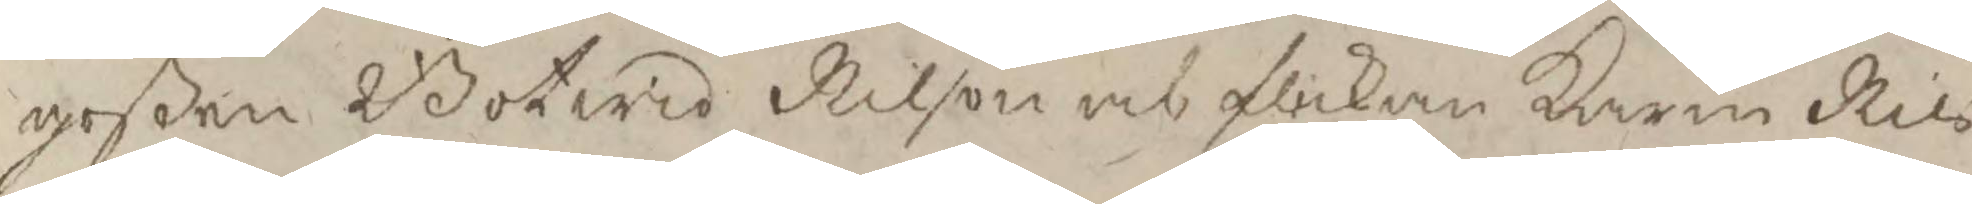goßen Botwid Nilsson och flickan karin Nils¬
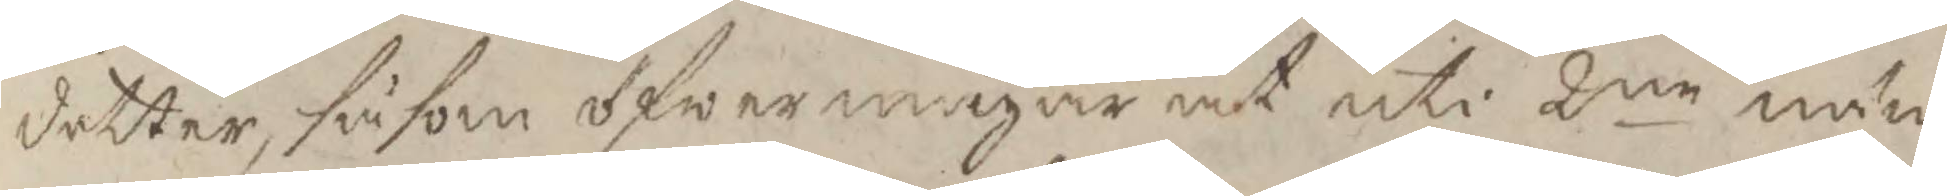dotter, såsom öfwermagar at uti 2ne näm¬
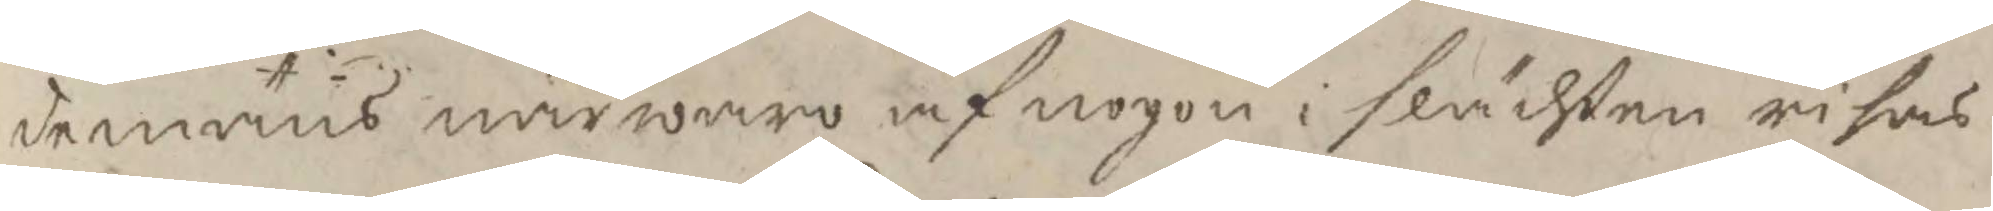demäns närwaro af nogen i slächten risas.
